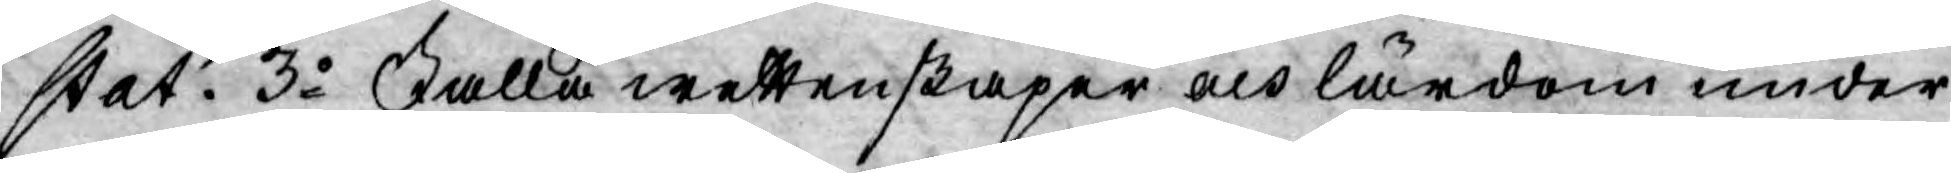stat. 3o Falla wettenskaper och lärdom under
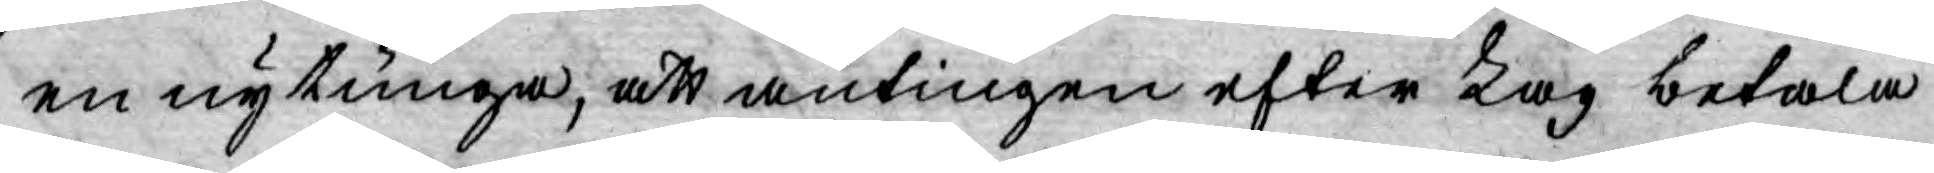en ny tunga, att antingen efter Lag betala
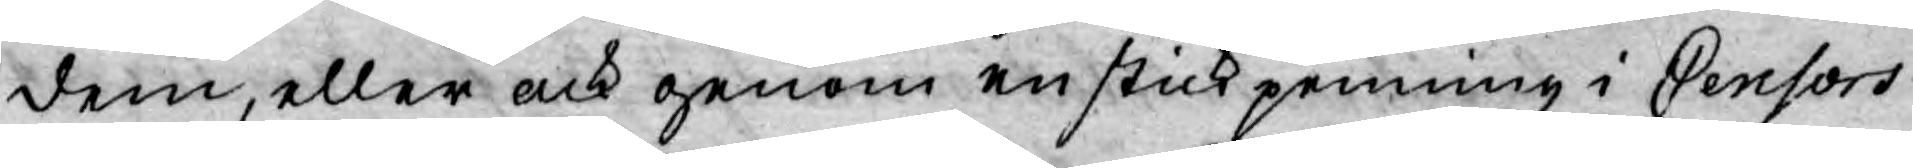dem, eller ock genom en stick penning i Censors
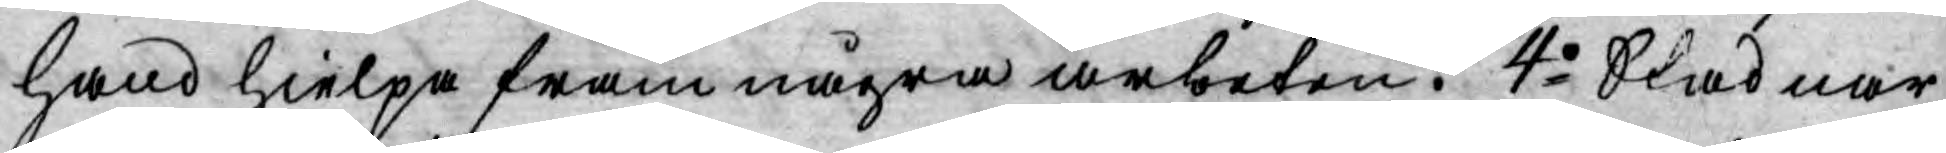hand hielpa fram några arbeten. 4o Stadnar
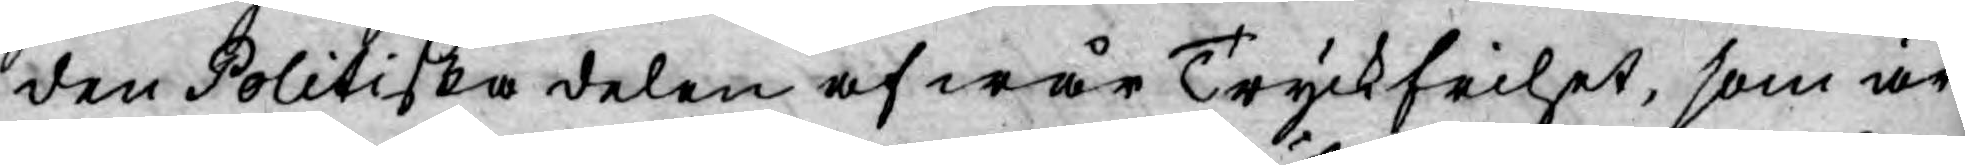den Politiska delen af wår Tryckfrihet, som är
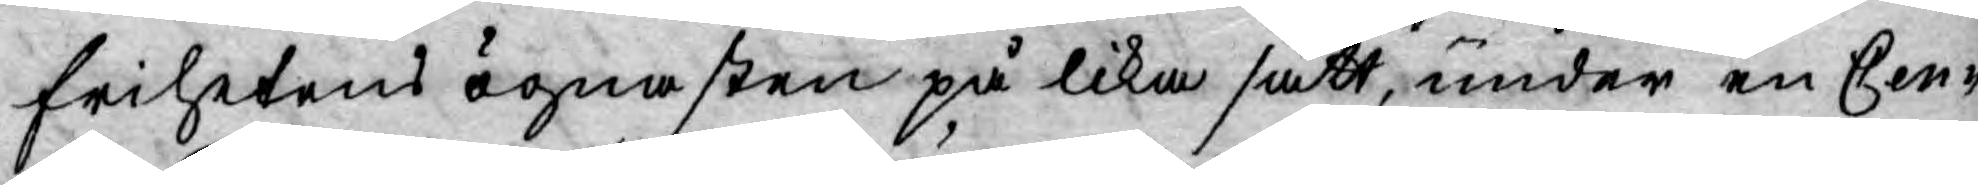frihetens ögnasten på lika sätt, under en Cen¬
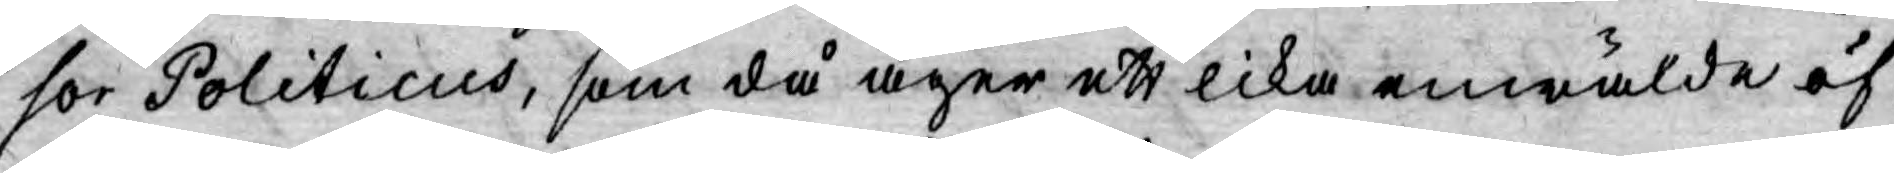sor Politicus, som då äger ett lika enwälde öf¬
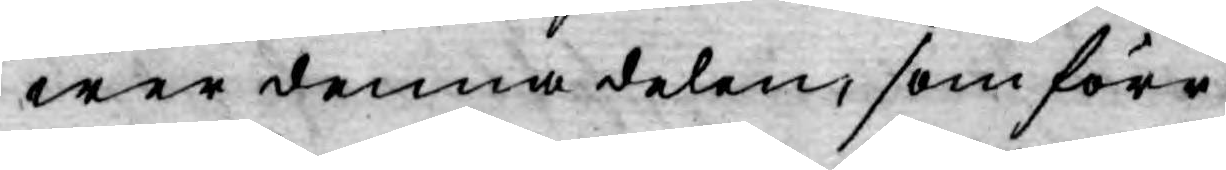wer denna delen, som förr.
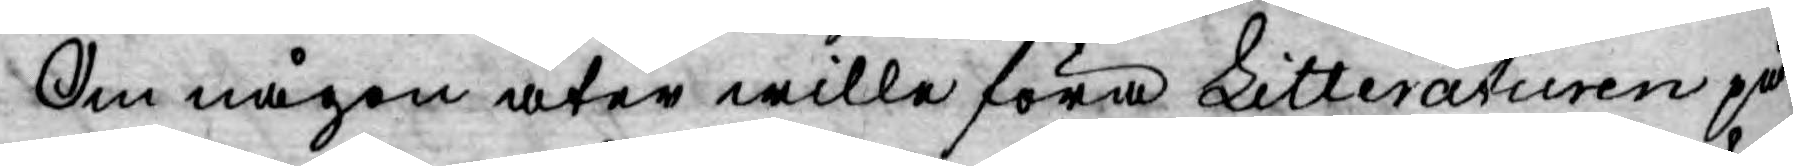Om någon åter wille föra Litteraturen på
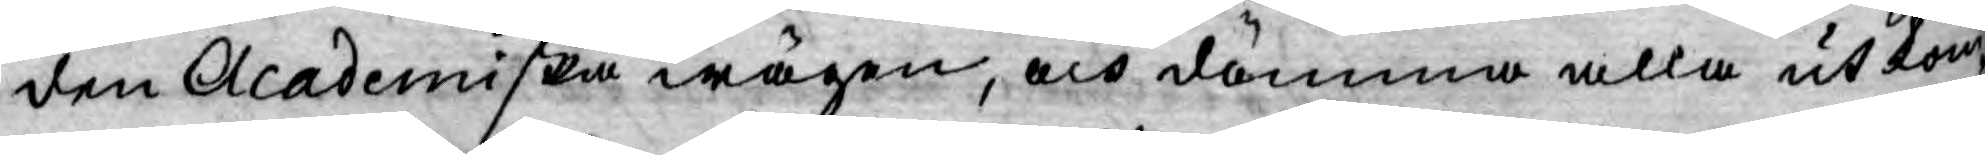den Academiska wägen, och dömma alla ut kom¬
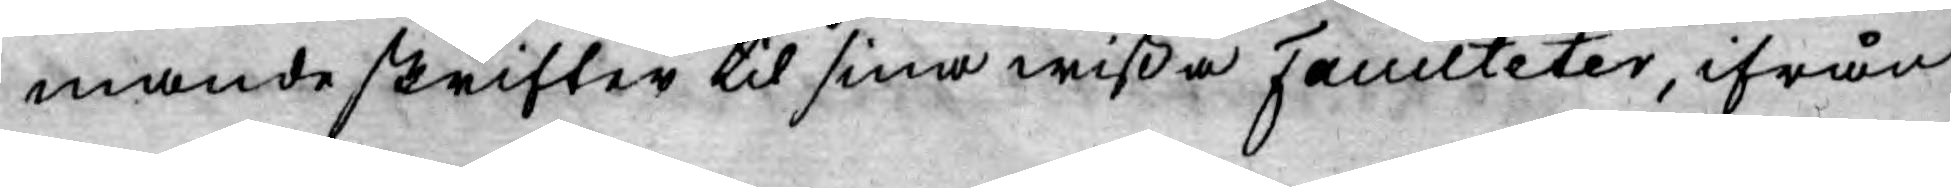mande skrifter til sina wißa Faculteter, ifrån
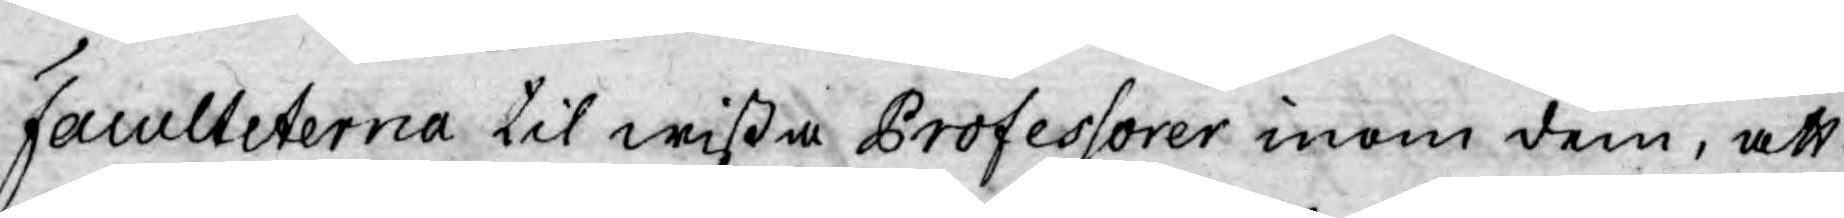Faculteterna til wißa Professorer inom dem, att
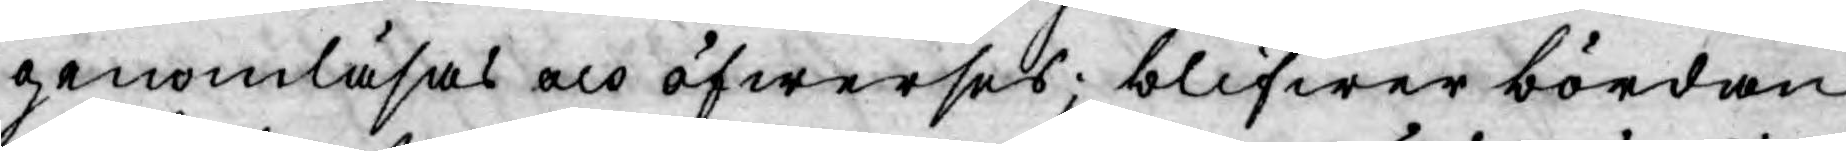genomläsas och öfwerses; blifwer bördan
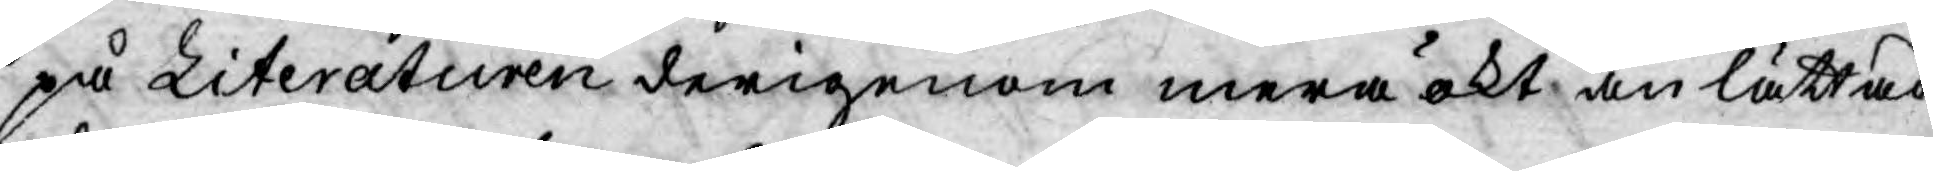på Literaturen derigenom mera ökt än lättad.
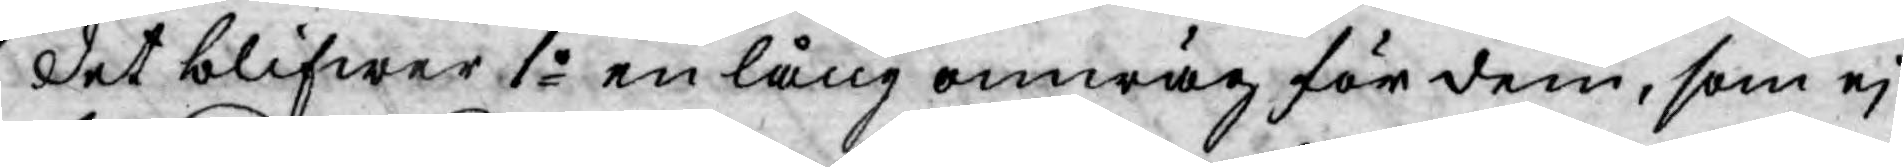Det blifwer 1o en lång omwäg för dem, som ej
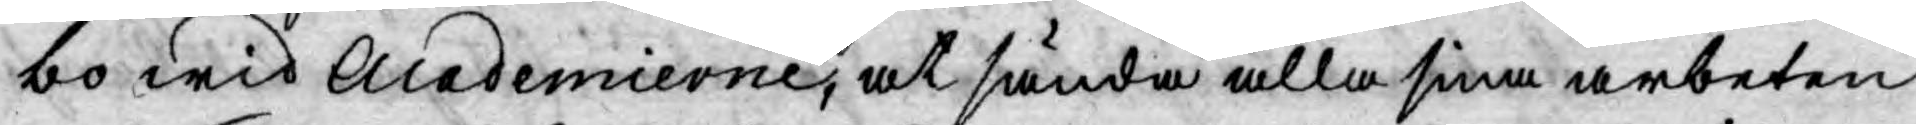bo wid Academierne, at sända alla sina arbeten
